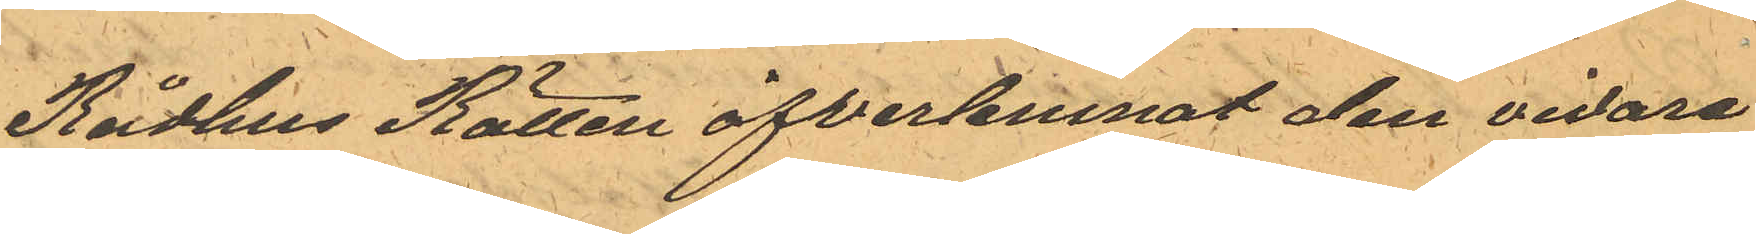Rådhus Rätten öfverlemnat den vidare
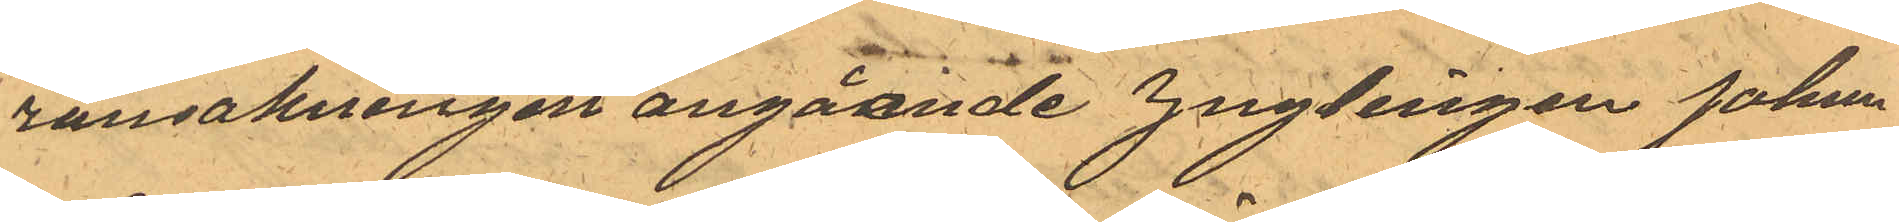ransakningen angående ynglingen Johan
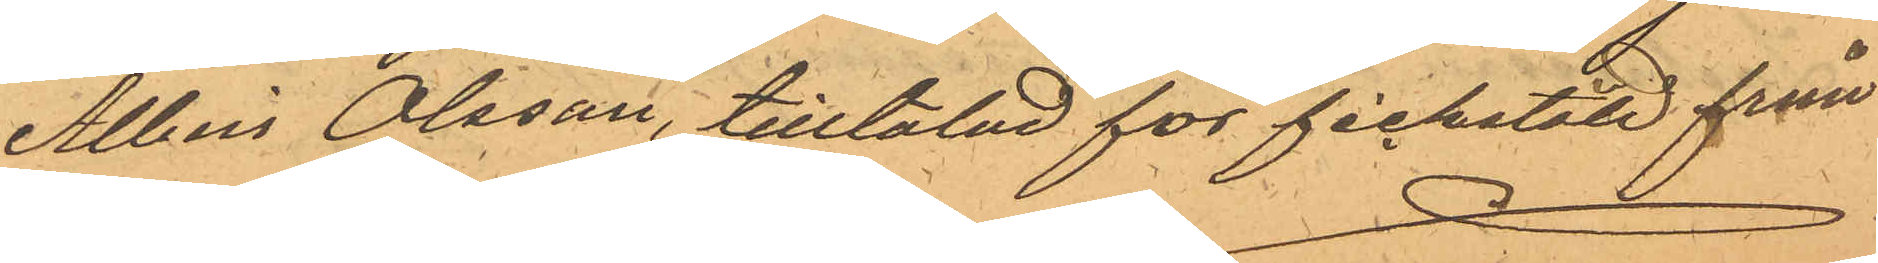Albin Olsson, tilltalad för fickstöld från
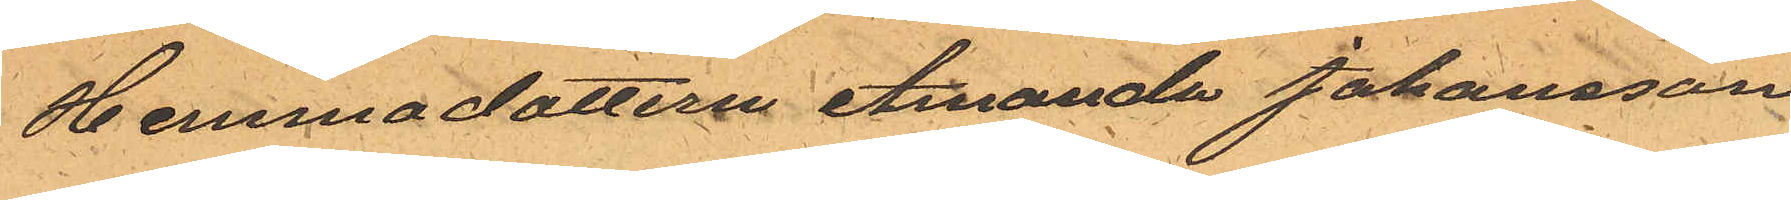Hemmadottern Amanda Johansson
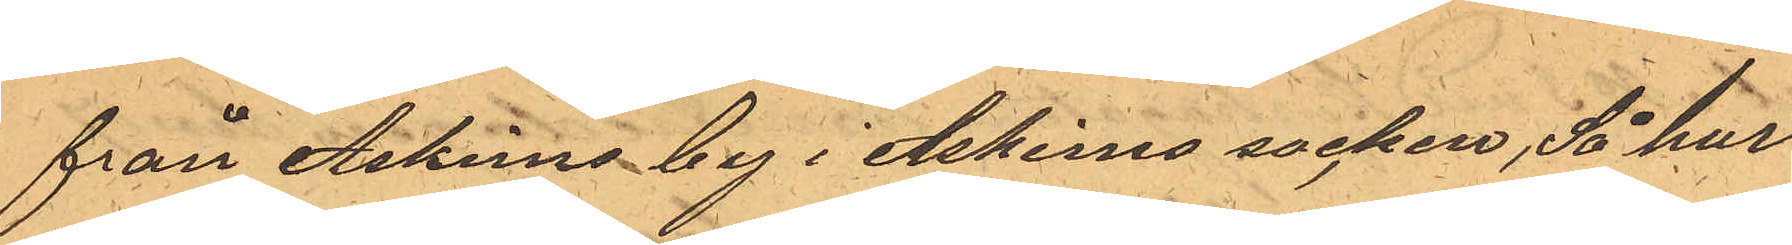från Askims by i Askims socken, Så har
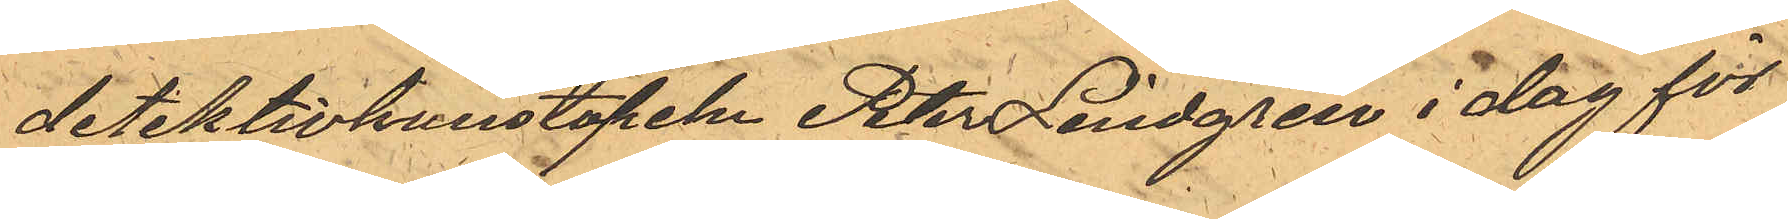detektivkonstapeln Peter Lindgren i dag för
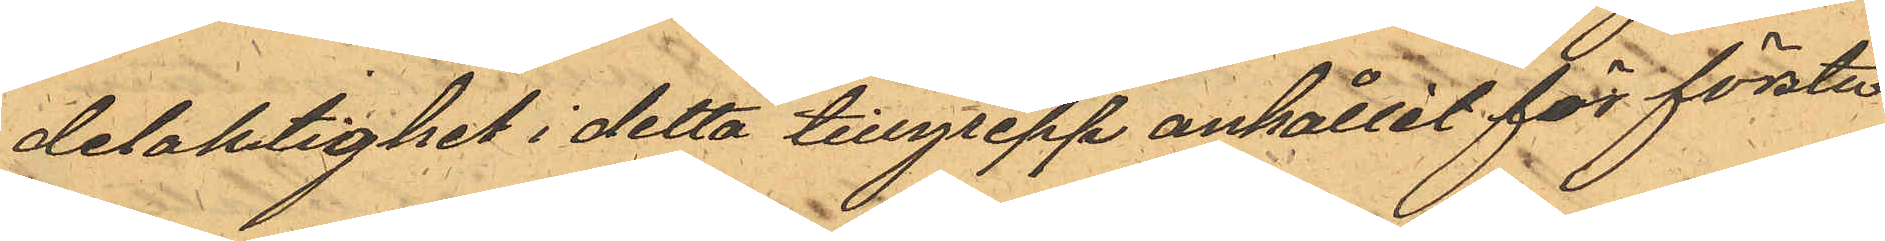delaktighet i detta tillgrepp anhållit för första
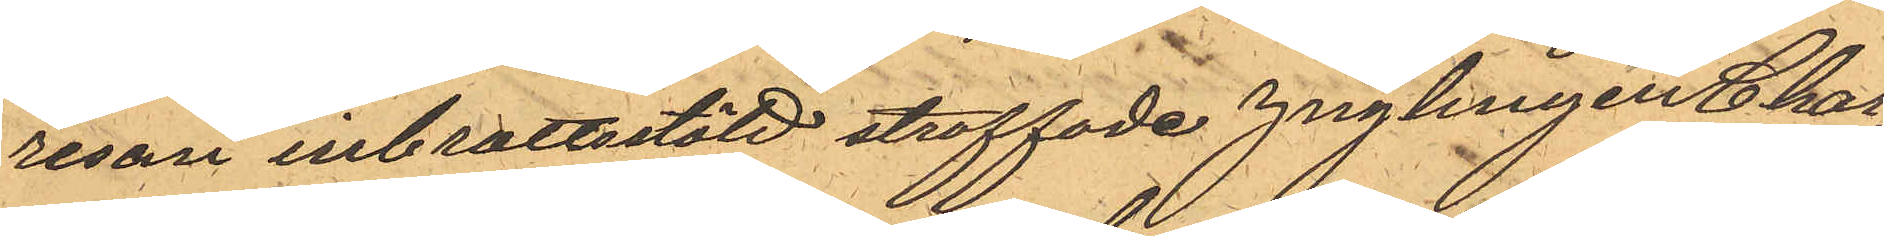resan inbrottsstöld straffade ynglingen Char¬
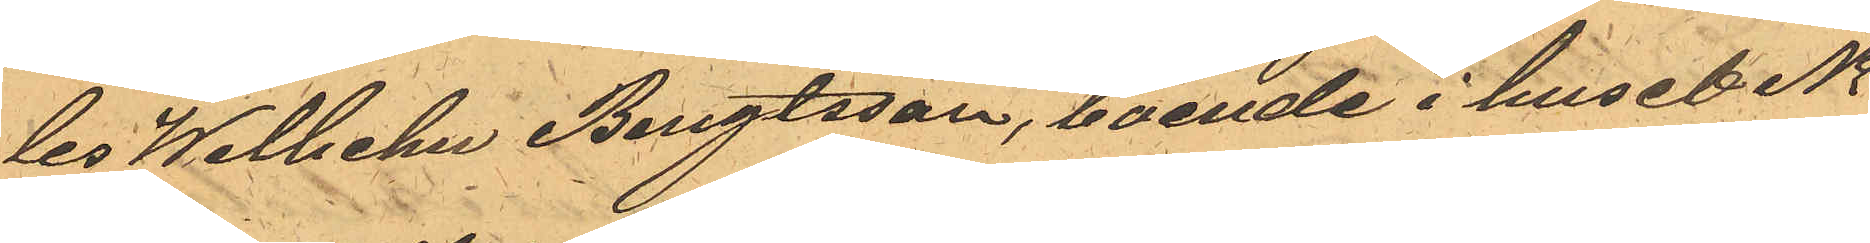les Wilhelm Bengtsson, boende i huset No
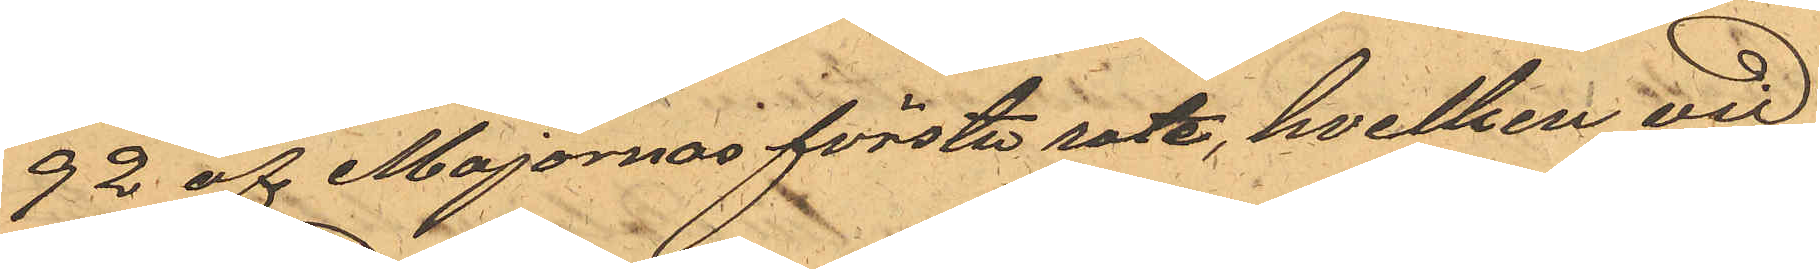92 af Majornas första rote, hvilken vid
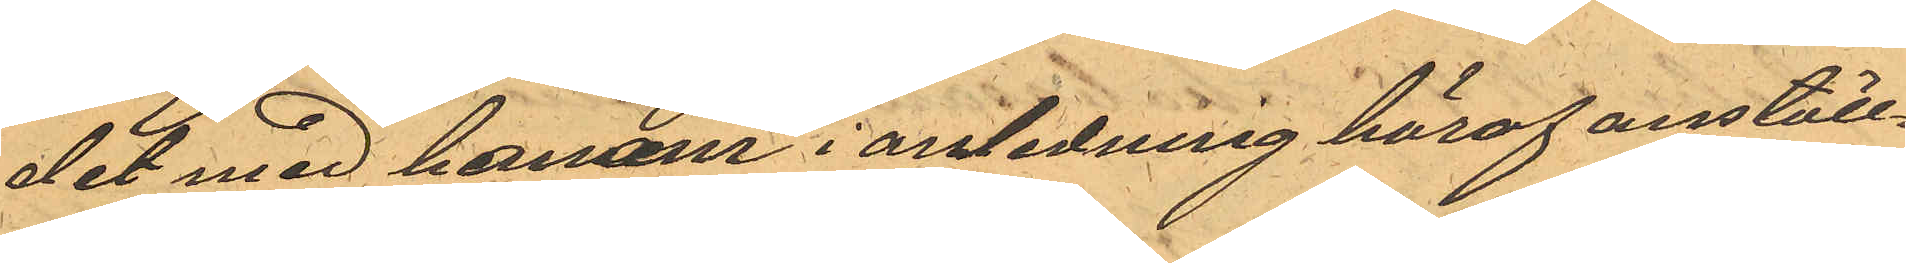det med honom i anledning häraf anställ¬
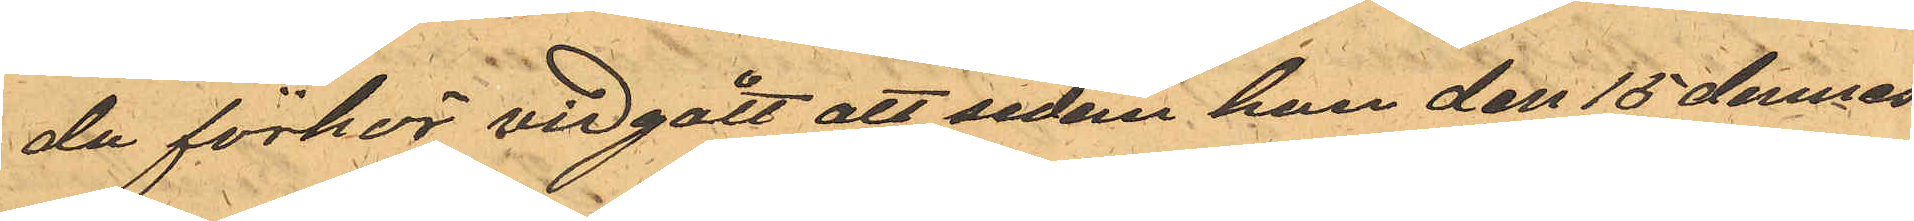da förhör vidgått att sedan han den 15 dennes
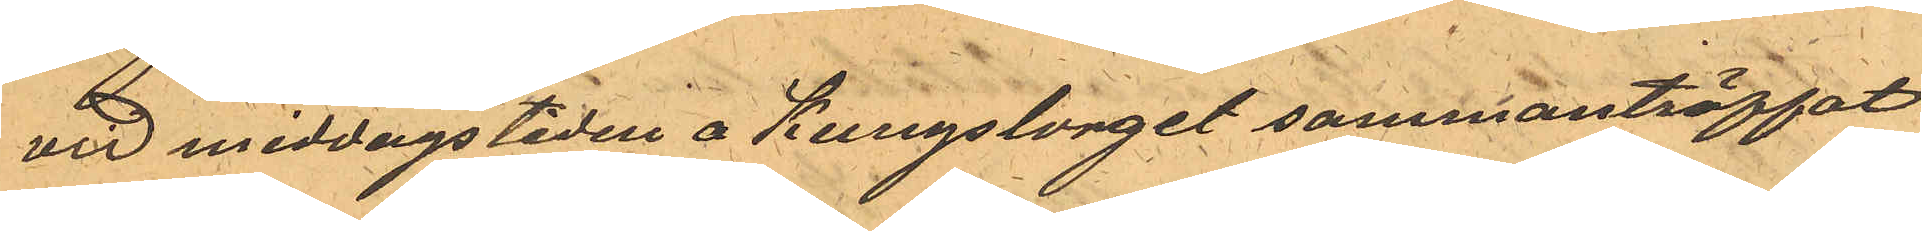vid middagstiden å Kungstorget sammanträffat
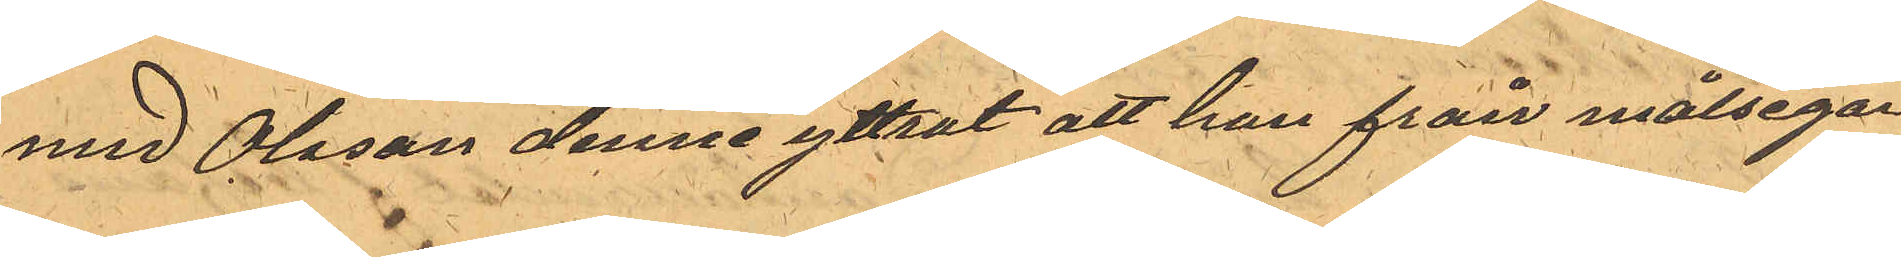med Olsson denne yttrat att han från målsegar¬
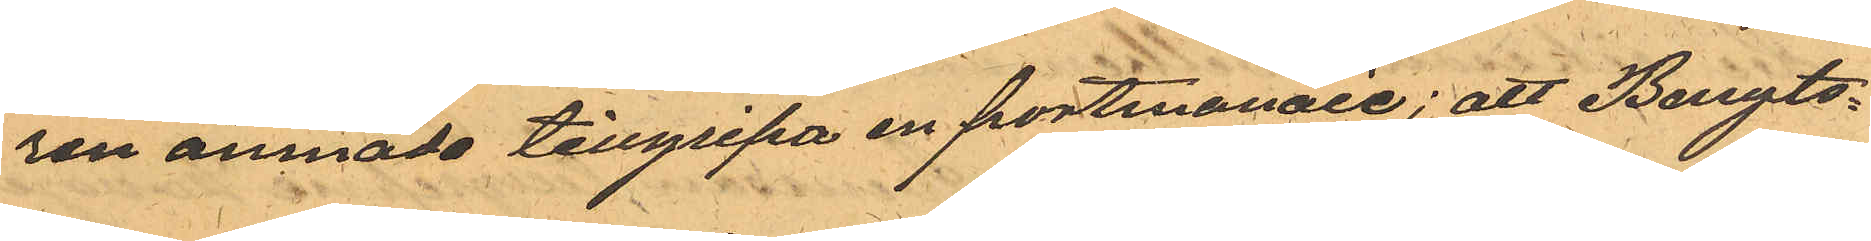ren ämnade tillgripa en portmonaie; att Bengts¬
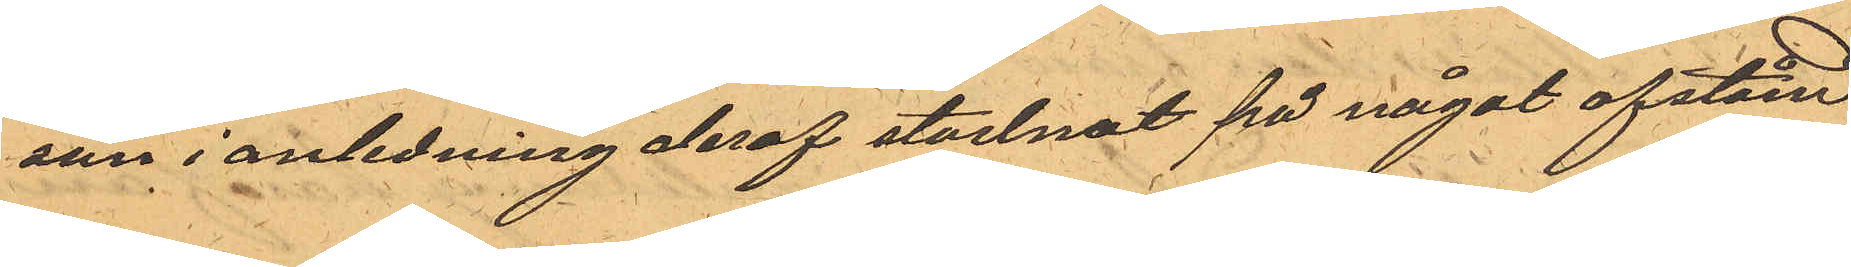son i anledning deraf stadnat på något afstånd
